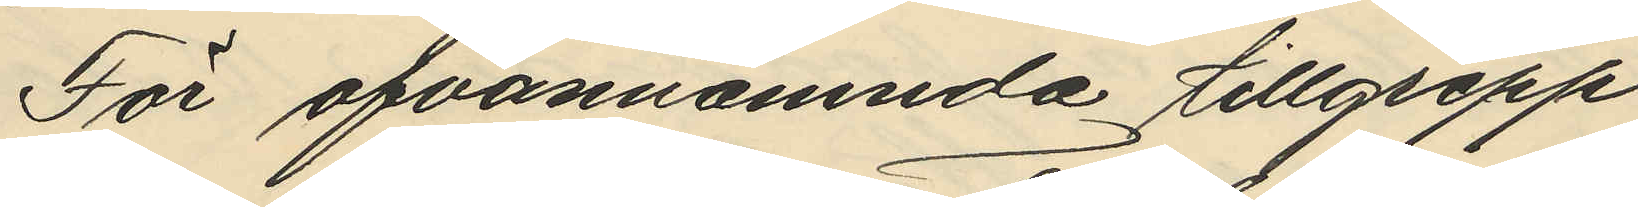För ofvannämnde tillgrepp
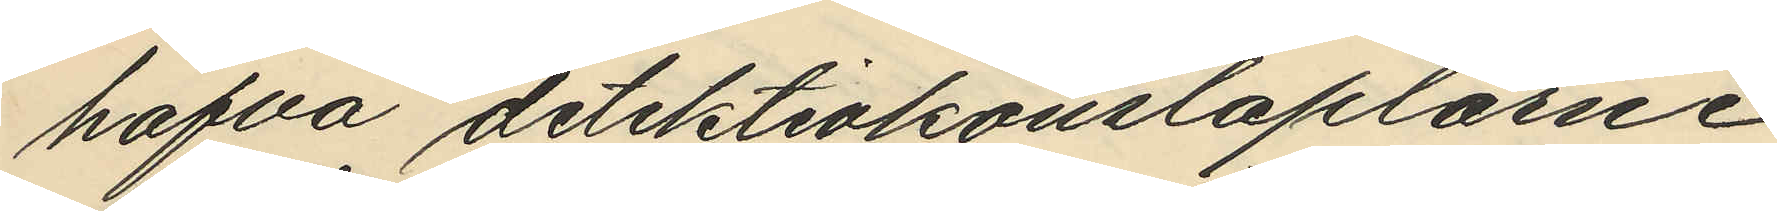hafva detektivkonstaplarne
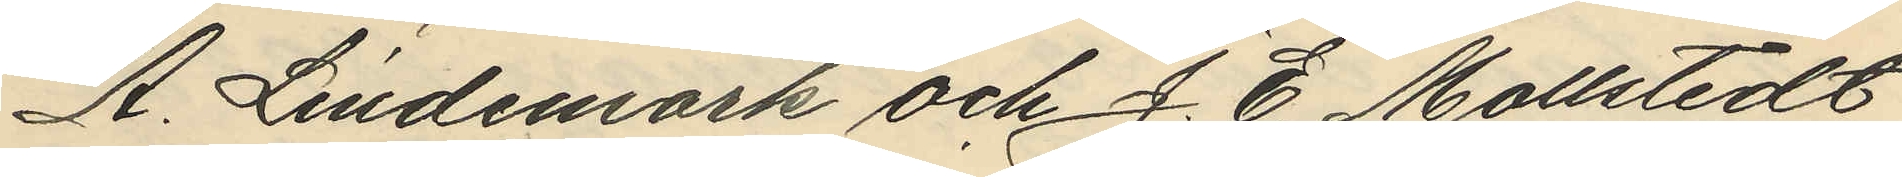A. Lindemark och J. E. Mollstedt
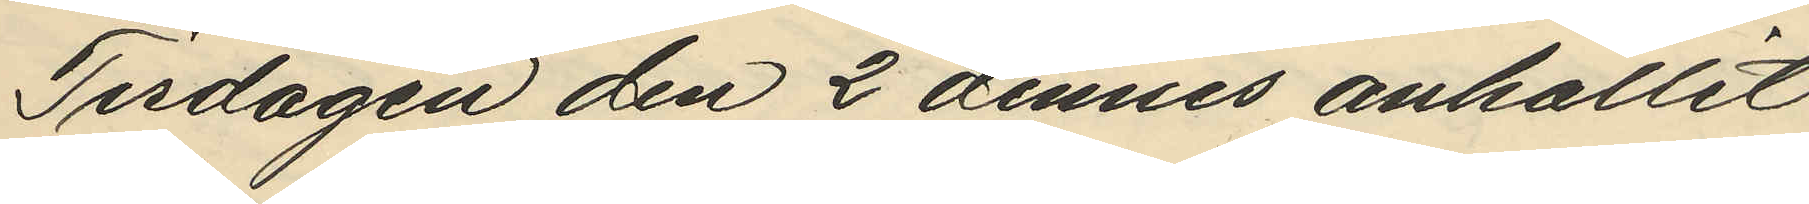Tisdagen den 2 dennes anhållit
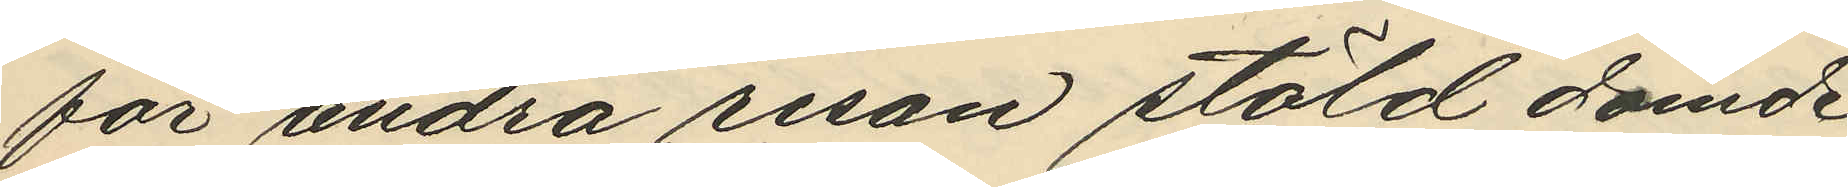för andra resan stöld dömde
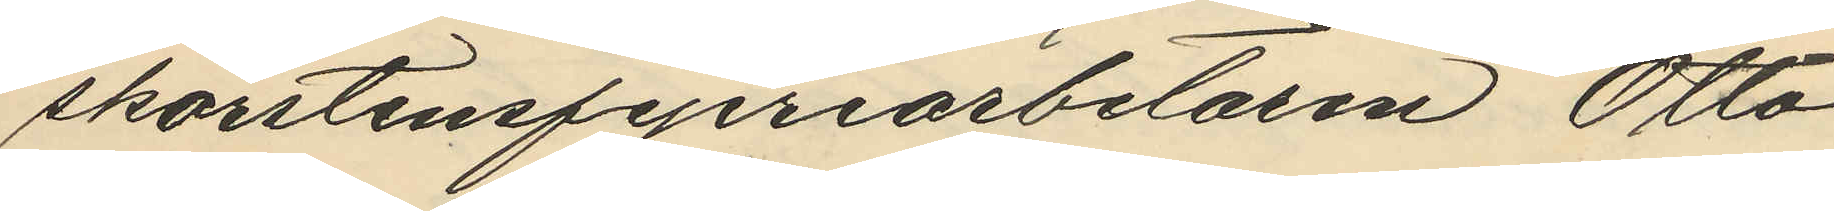skorstensfejeriarbetaren Otto
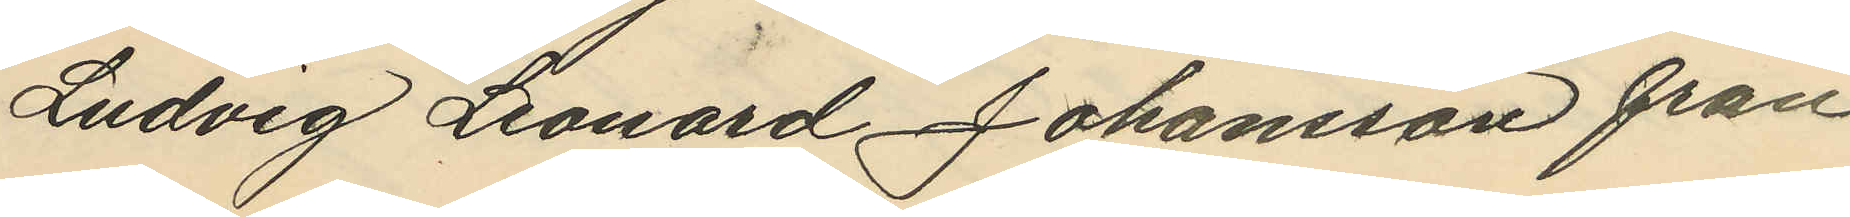Ludvig Leonard Johansson från
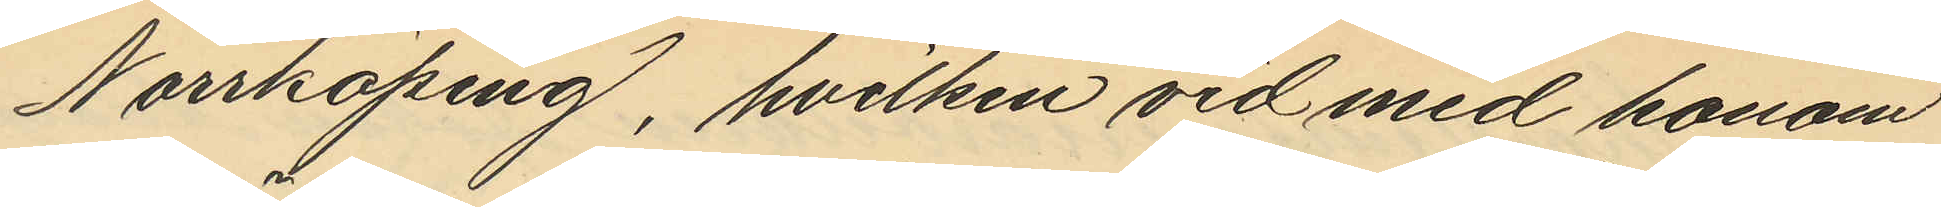Norrköping, hvilken vid med honom
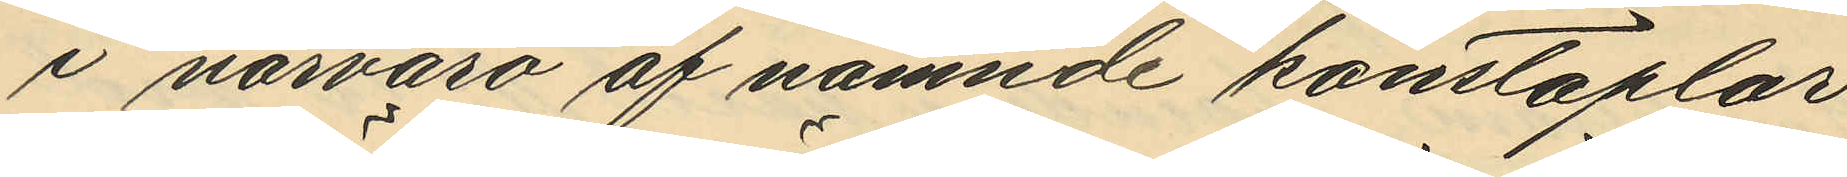i närvaro af nämnde konstaplar
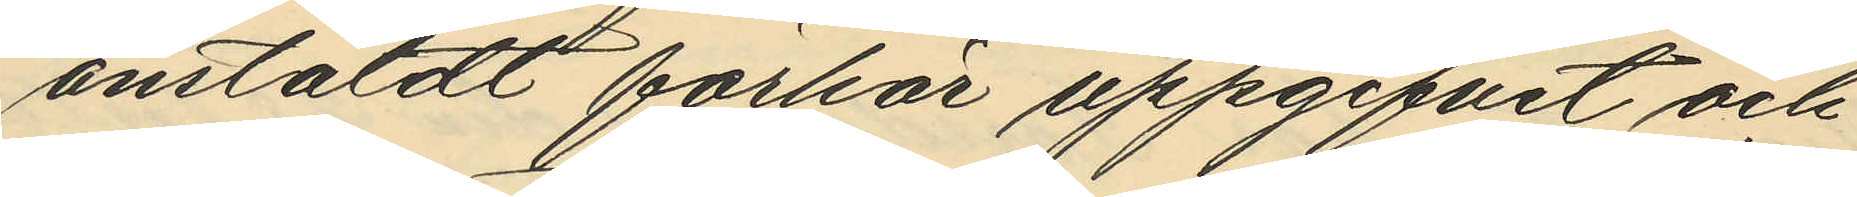anstäldt förhör uppgifvit och
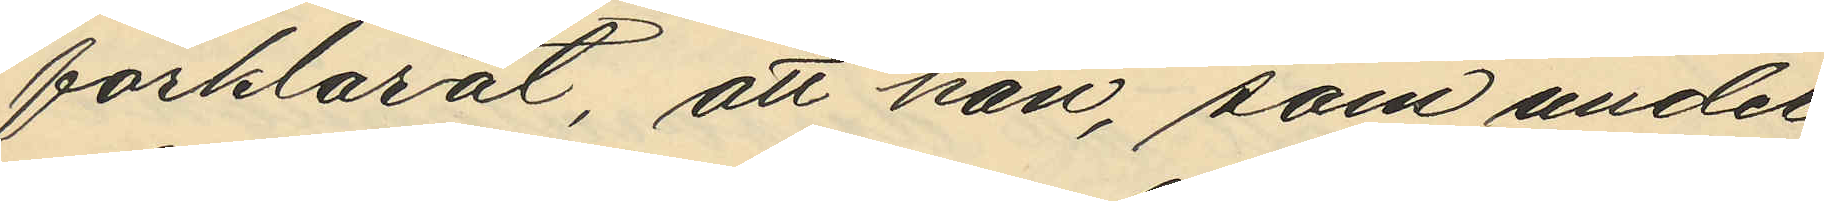förklarat, att han, som under
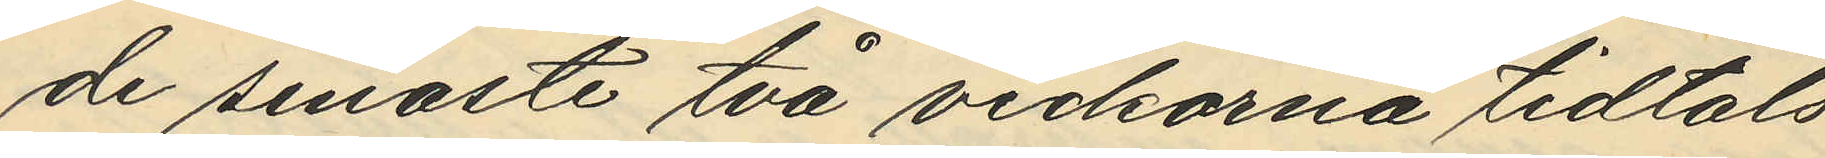de senaste två veckorna tidtals
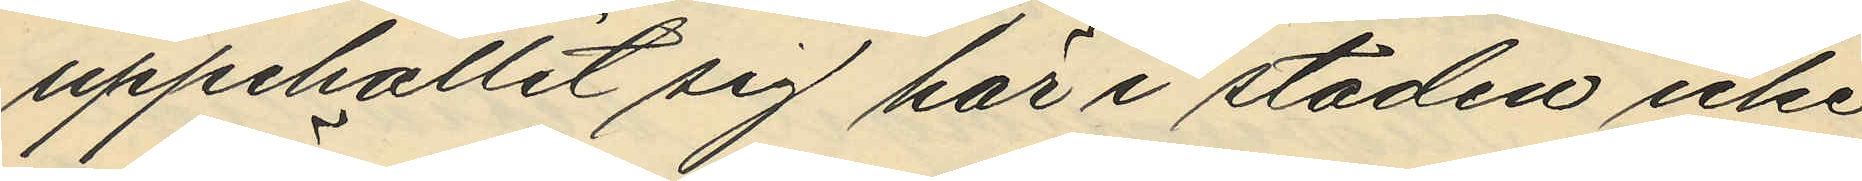uppehållit sig här i staden icke
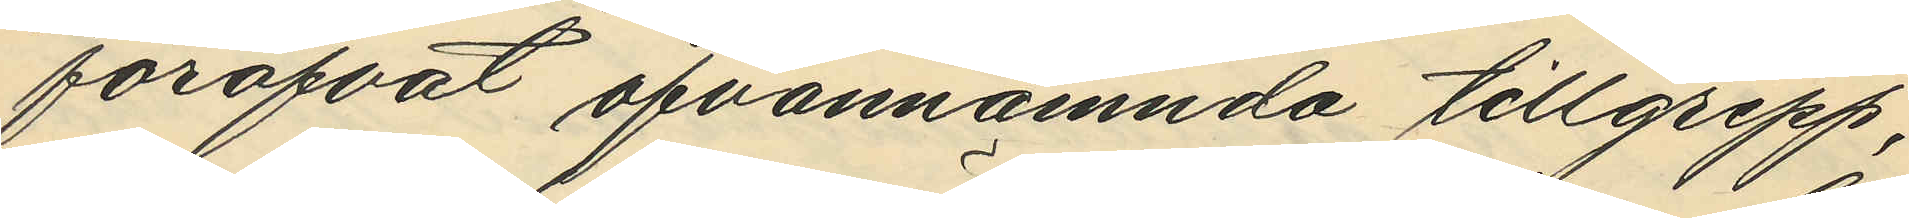föröfvat ofvannämnda tillgrepp,
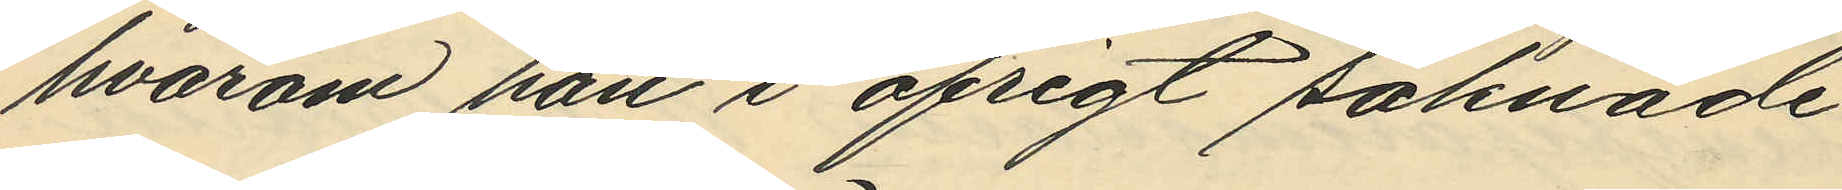hvarom han i öfrigt saknade
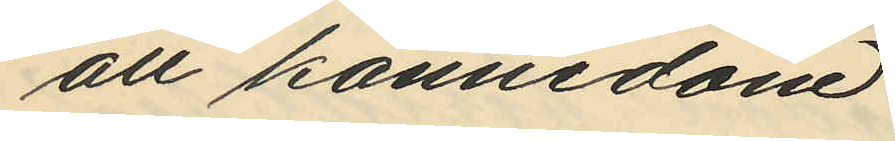all kännedom.
